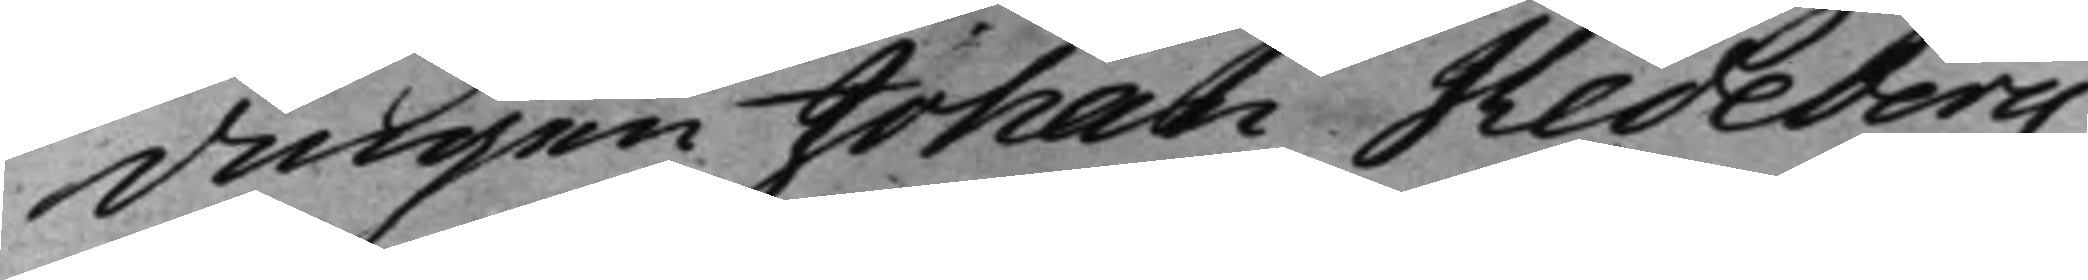dingen Johan Hedeberg,
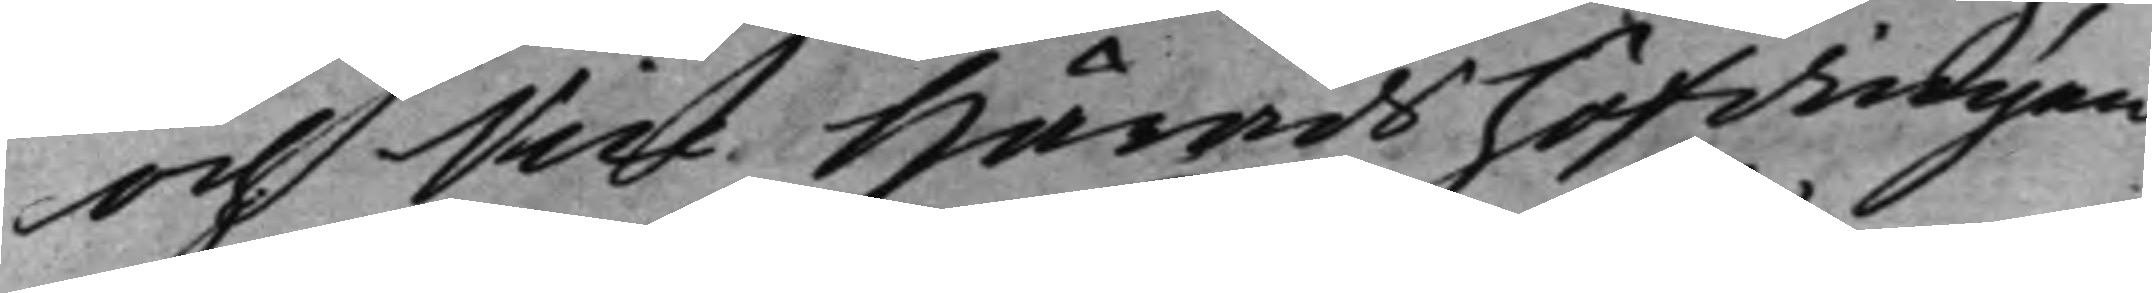och Vice Häradshöfdingen
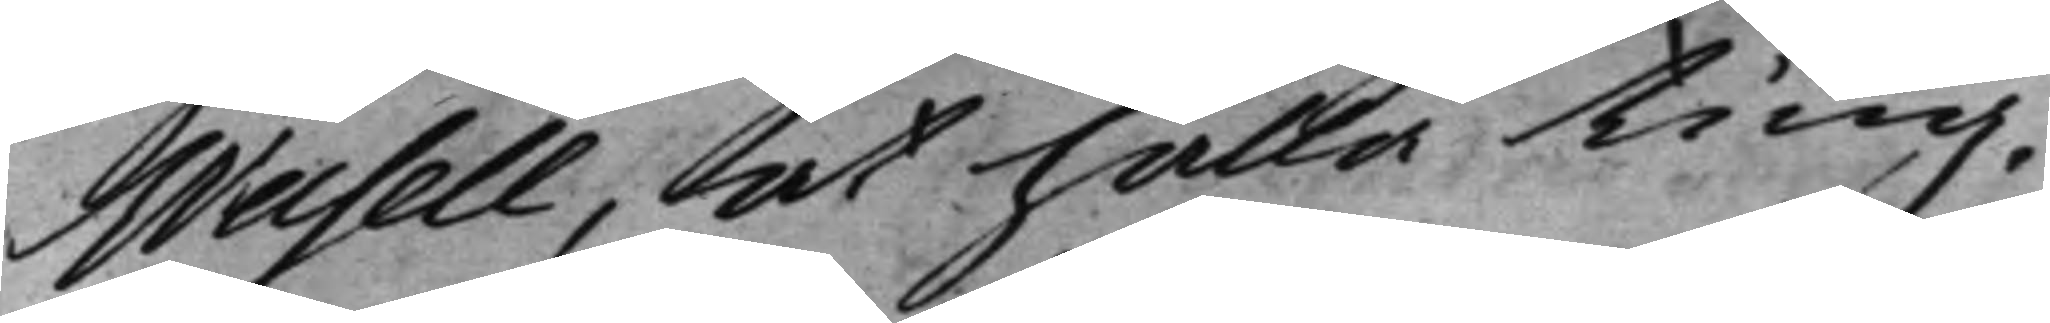Wasell, at hålla Ting.
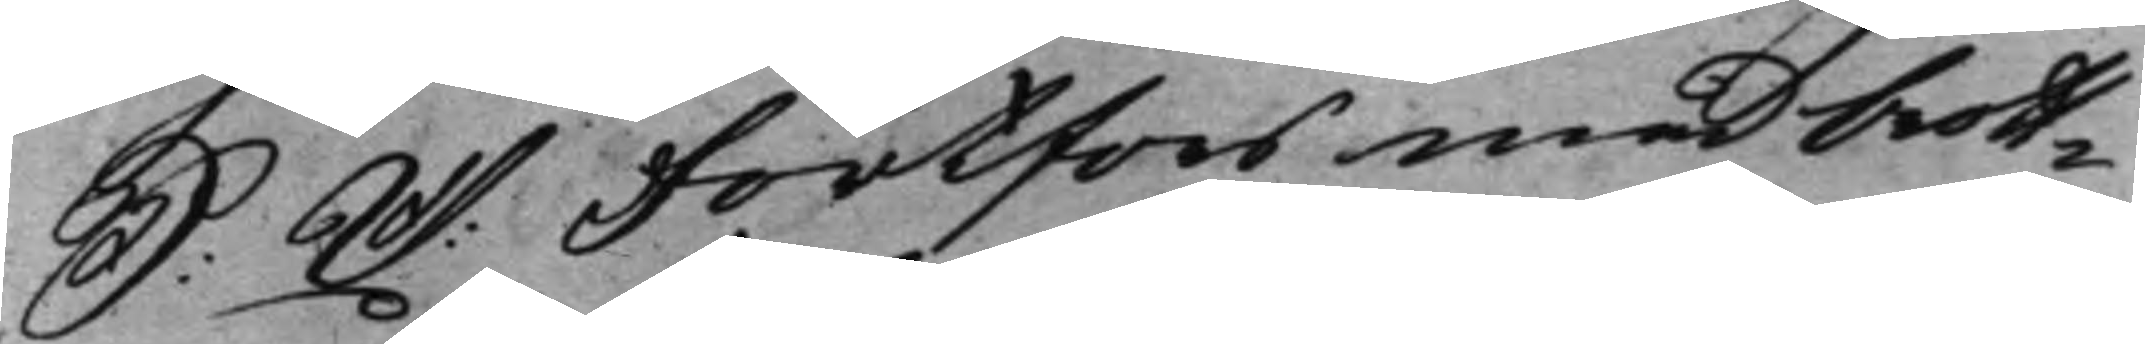S: D: Fortfors med brott¬ 
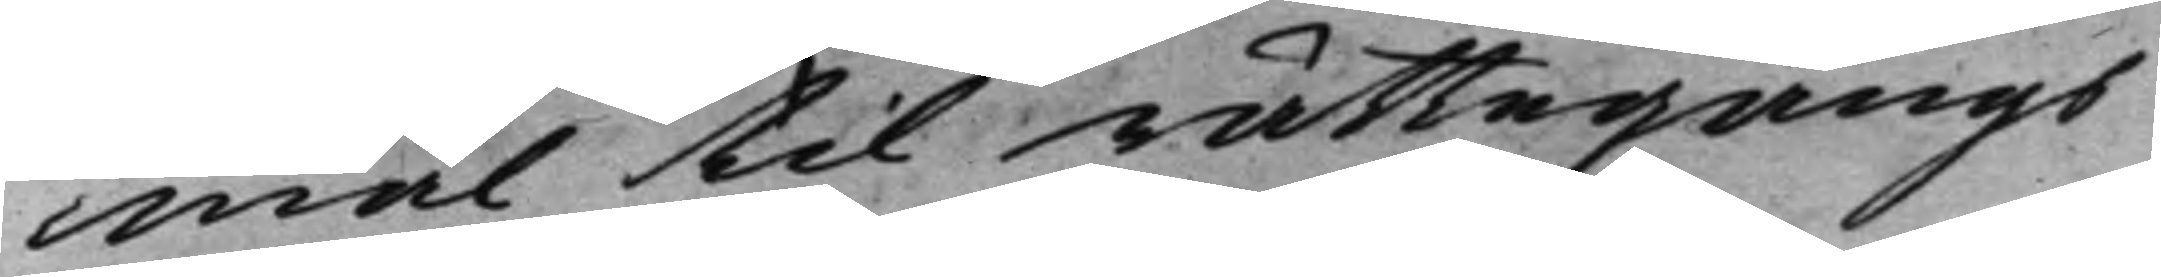mål til rättegångs
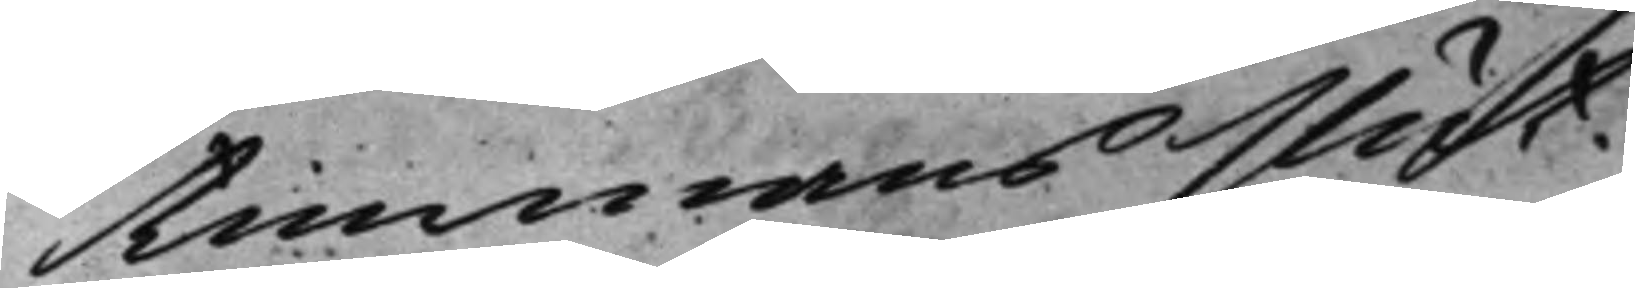timmans slut.
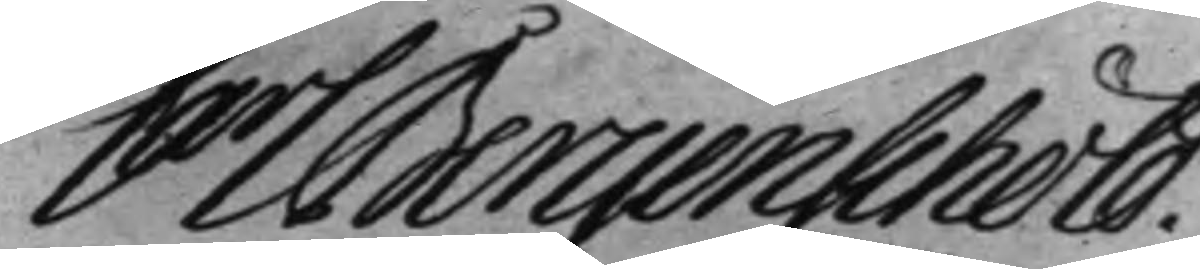Carl Bergenschöld.
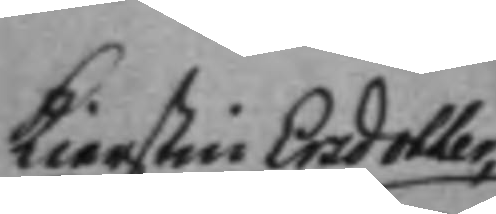Kierstin Ersdotter, 
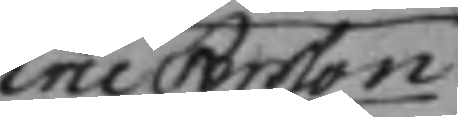Eric Persson
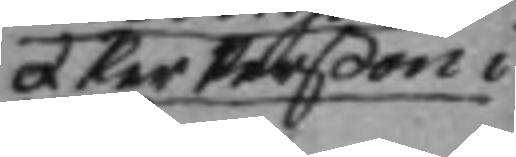et Per Perßon i
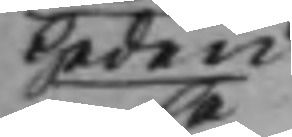Heden
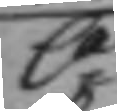C:
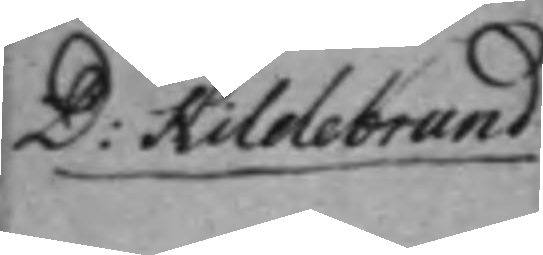D: Hildebrand 
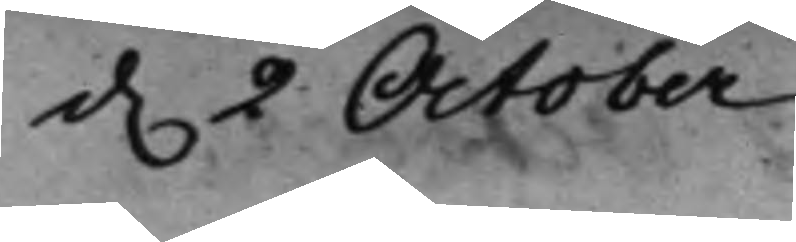d. 2 October 
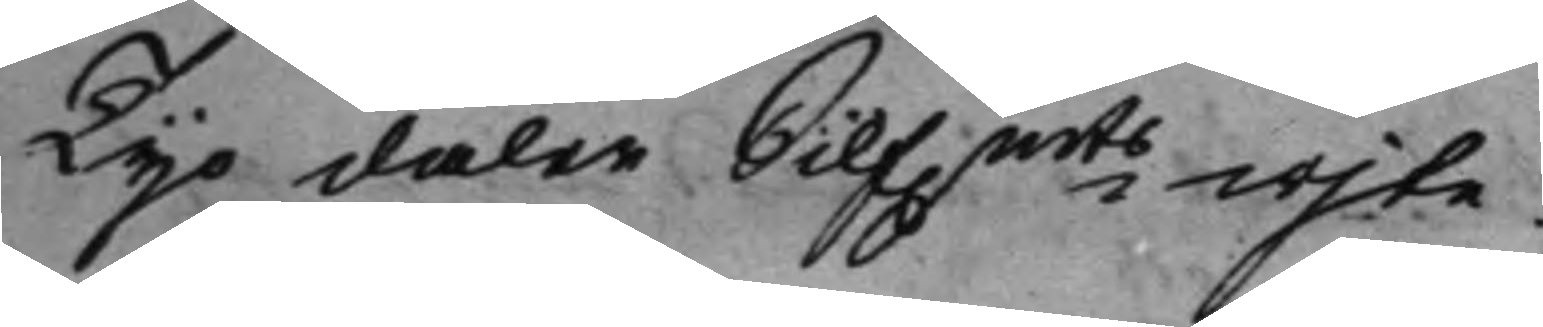Tijo daler Silf.mts wijte. 
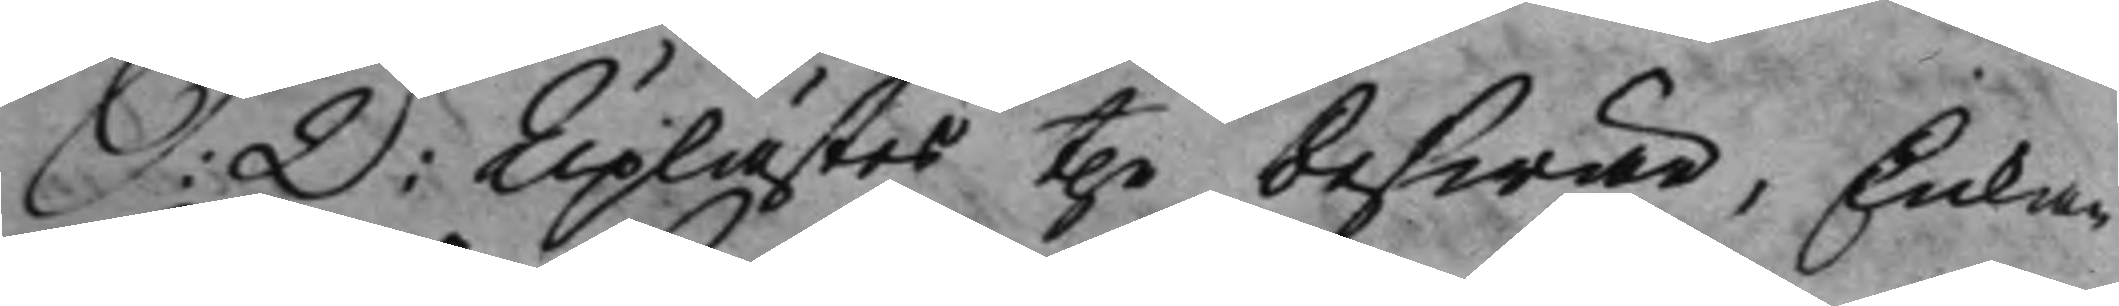S: D: Uplästes the beswär, Enkan 
